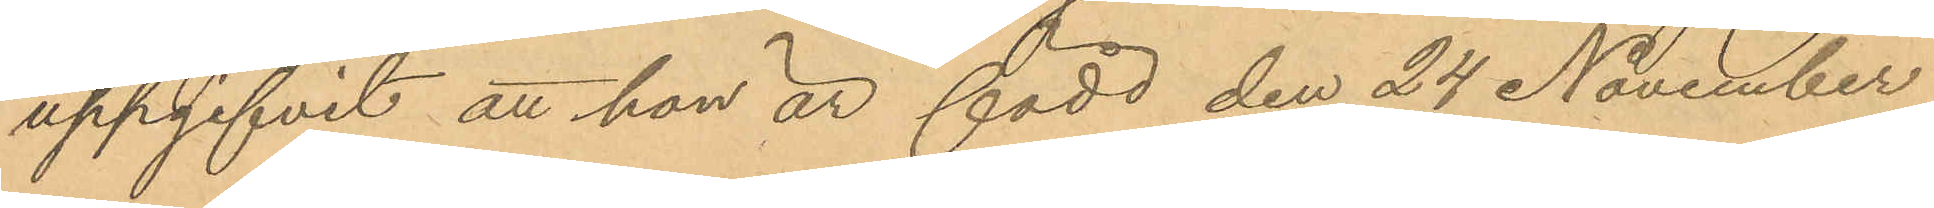uppgifvit att han är född den 24 November
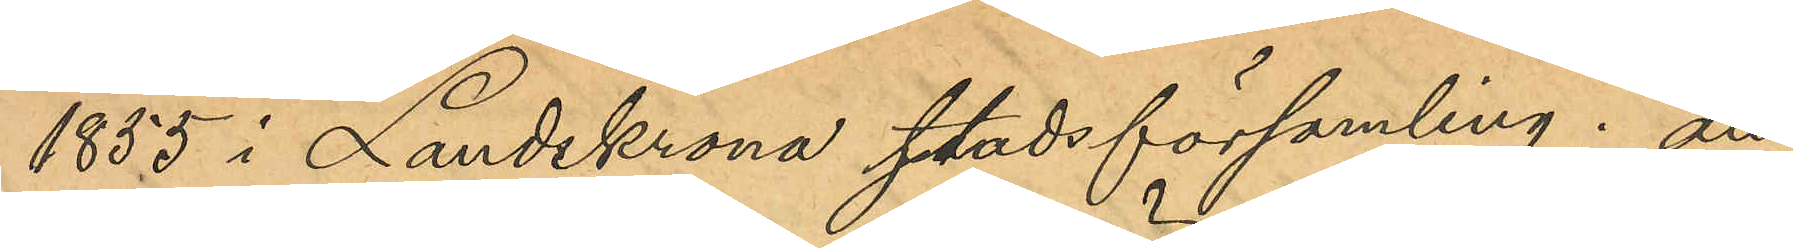1855 i Landskrona stadsförsamling; att
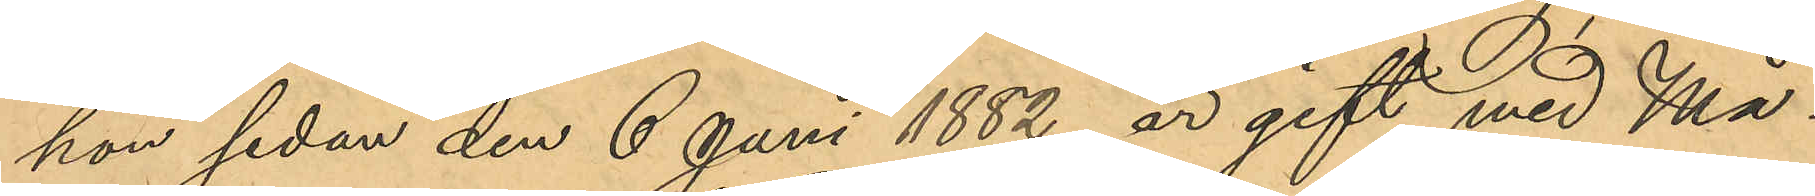hon sedan den 6 Juni 1882, är gift med Må¬
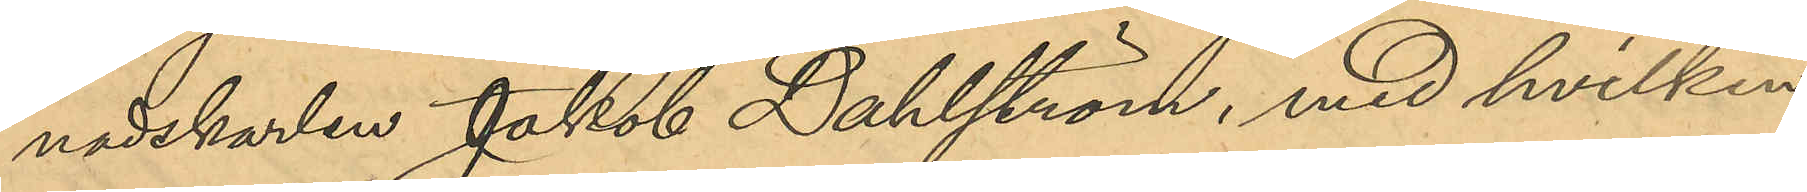nadskarlen Jakob Dahlström, med hvilken
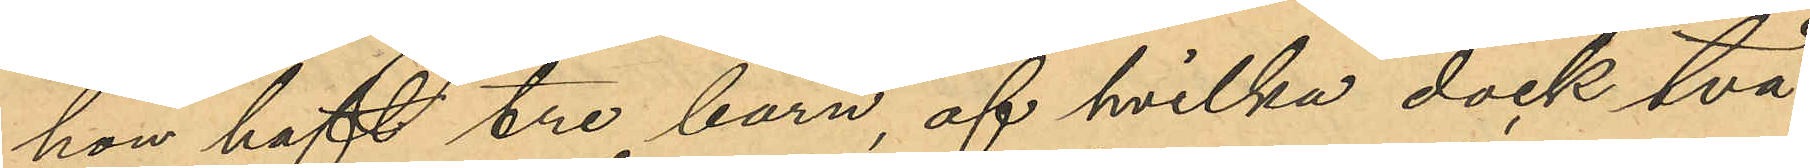hon haft tre barn, af hvilka dock två
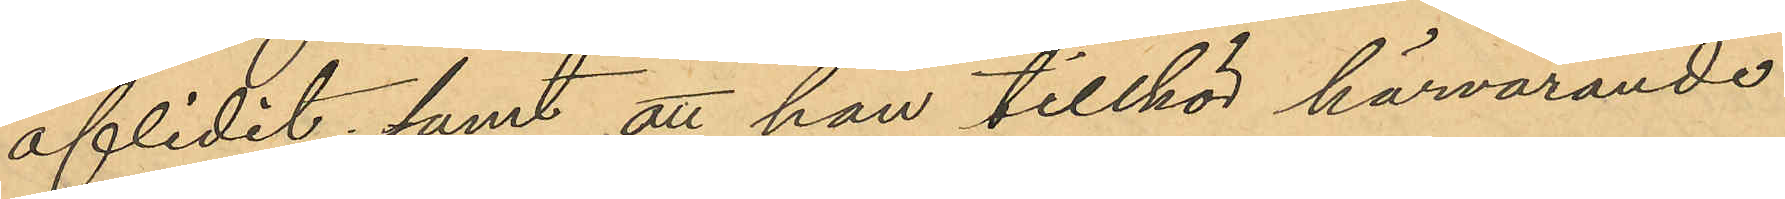aflidit, samt att hon tillhör härvarande
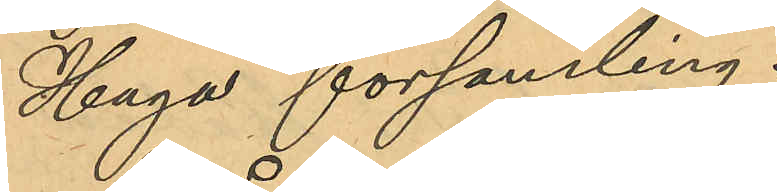Haga församling.
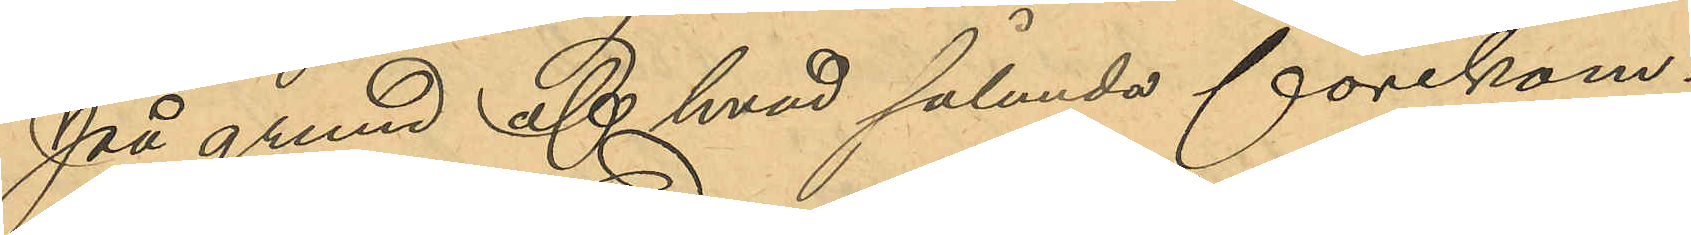På grund af hvad sålunda förekom¬
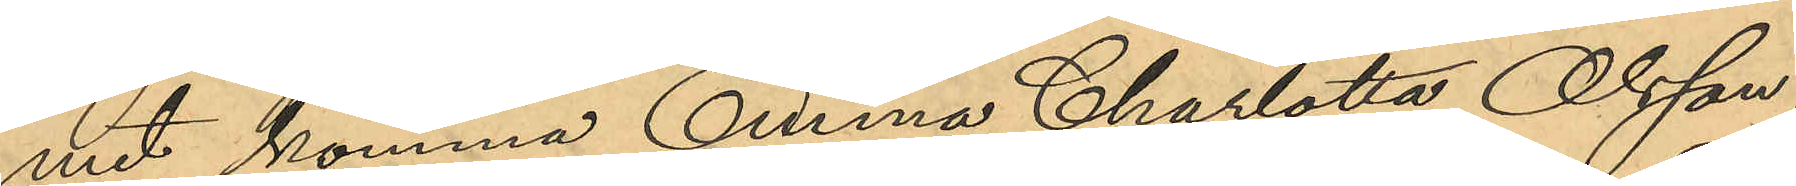mit komma Emma Charlotta Olsson,
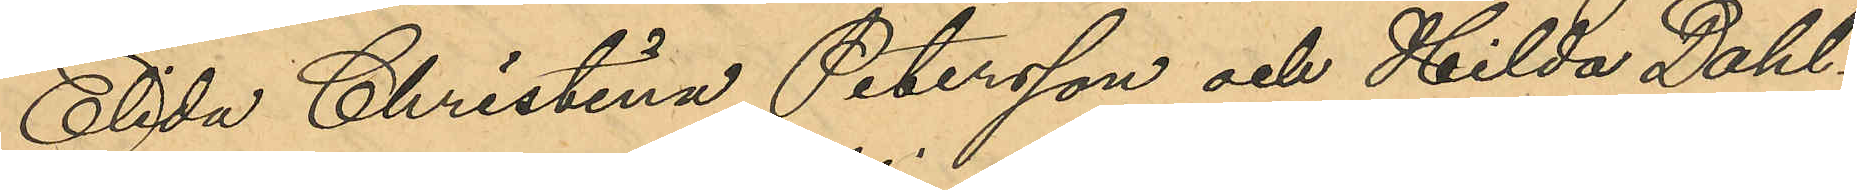Elida Christina Petersson och Hilda Dahl¬
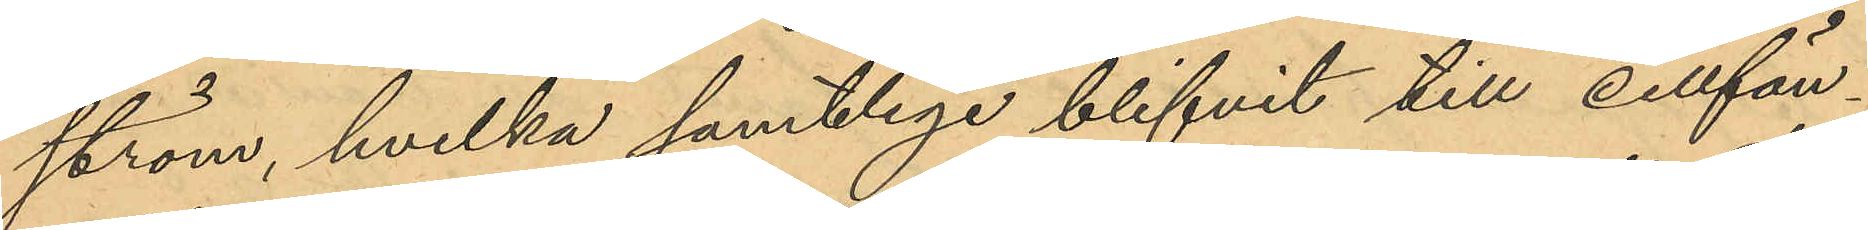ström, hvilka samtlige blifvit till cellfän¬
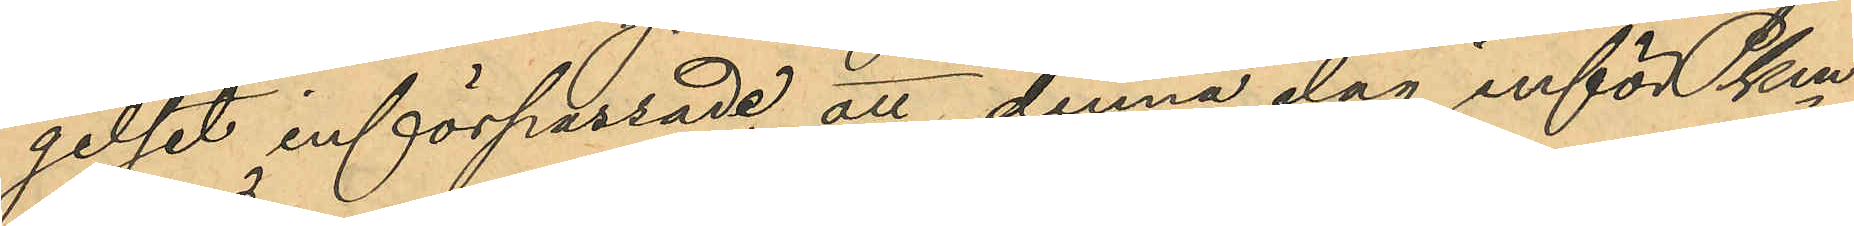gelset införpassade, att denna dag inför Pkmn¬
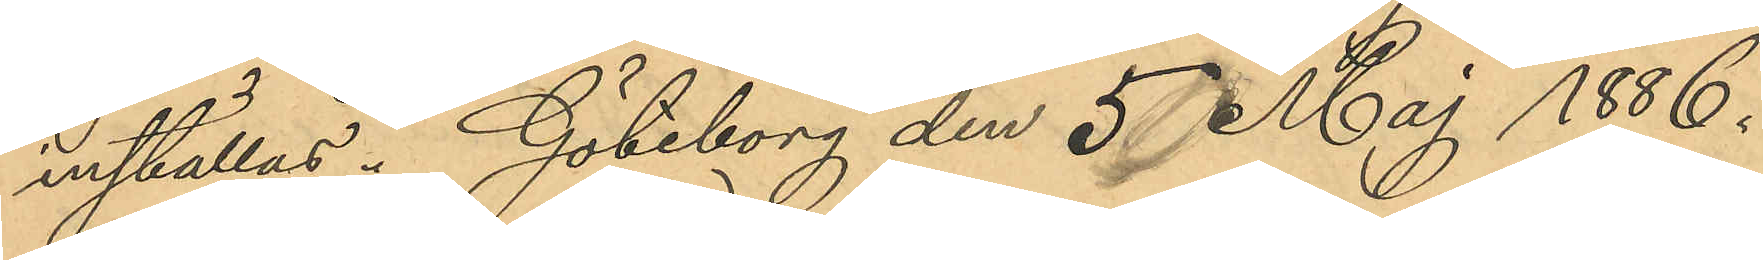inställas. Göteborg den 5 Maj 1886.
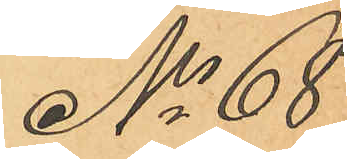No 68
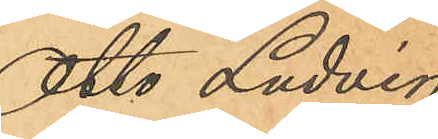Otto Ludvig
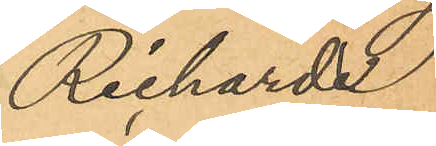Richarde
